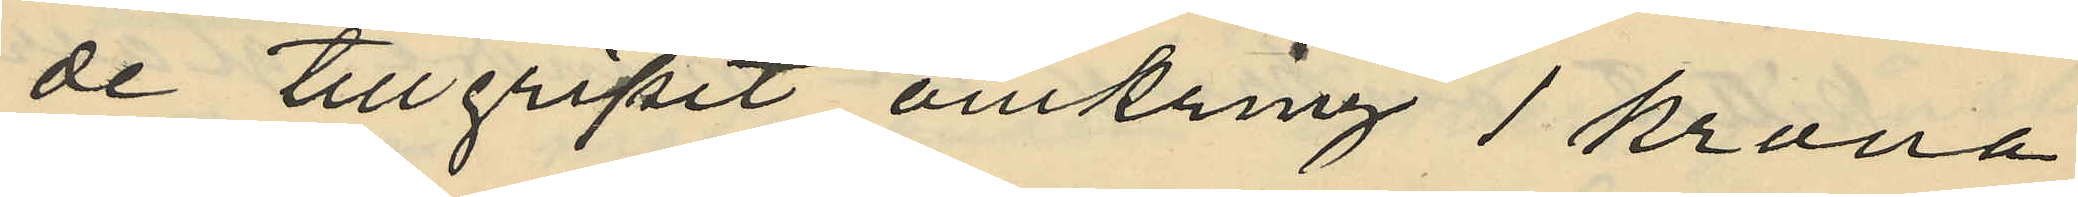de tillgripit omkring 1 krona
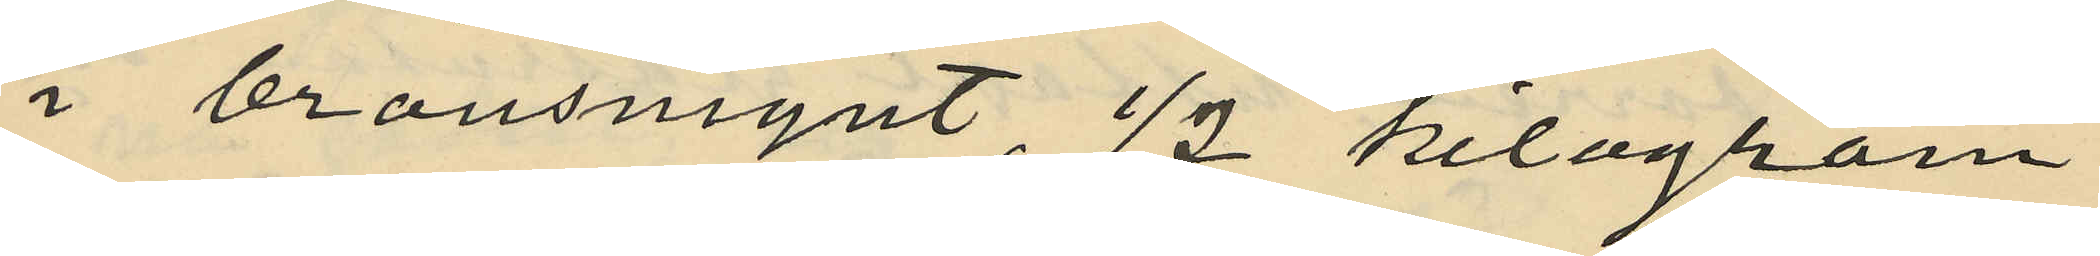i bronsmynt, 1/2 kilogram
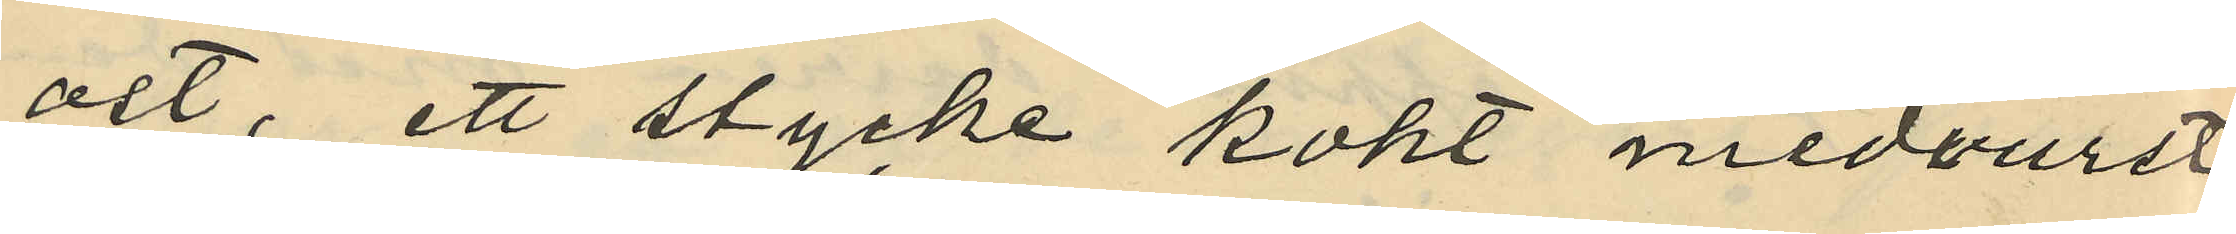ost, ett stycke kokt medvurst,
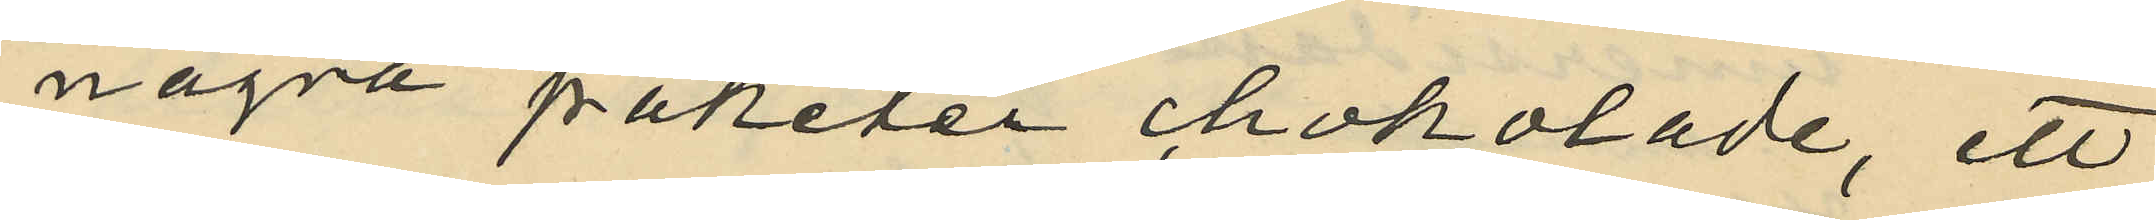några paketer chokolade, ett
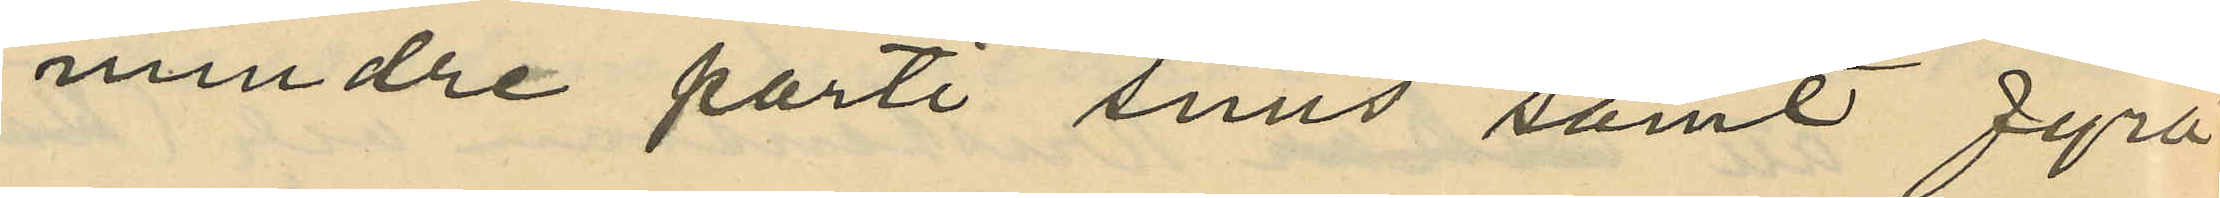mindre parti snus samt fyra
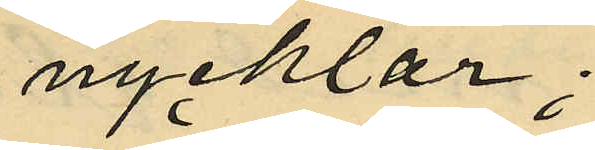nycklar;
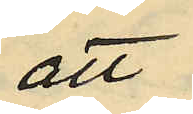att
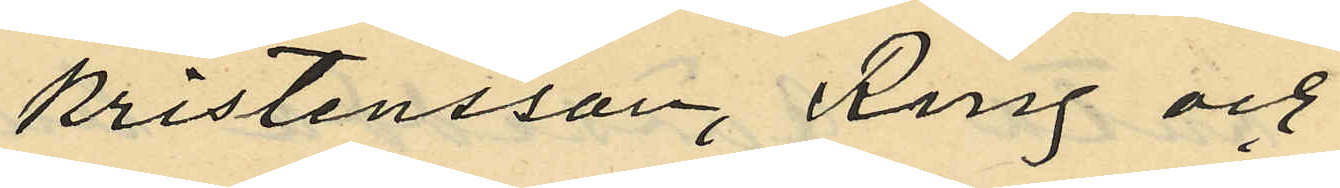Kristensson, Ring och
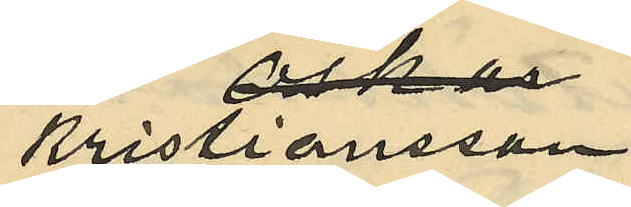Kristiansson
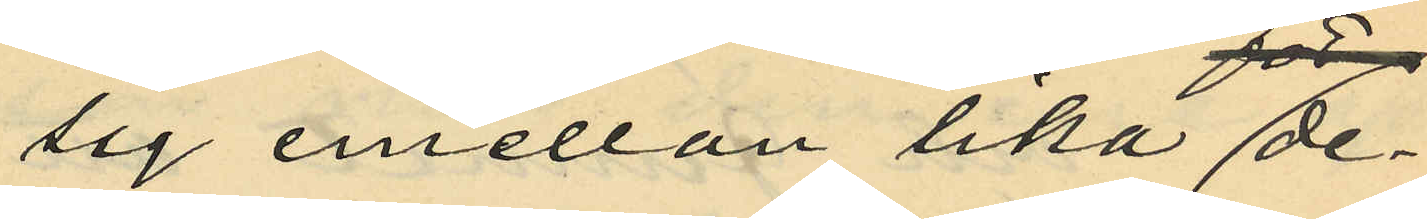sig emellan lika de¬
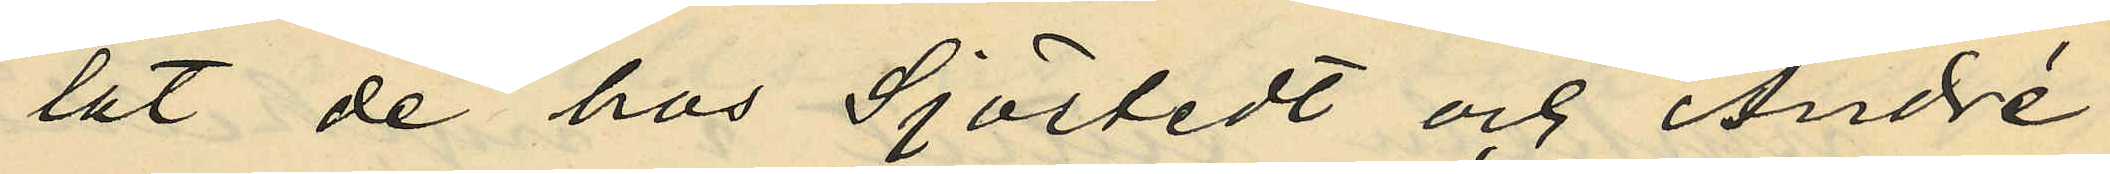lat de hos Sjöstedt och André
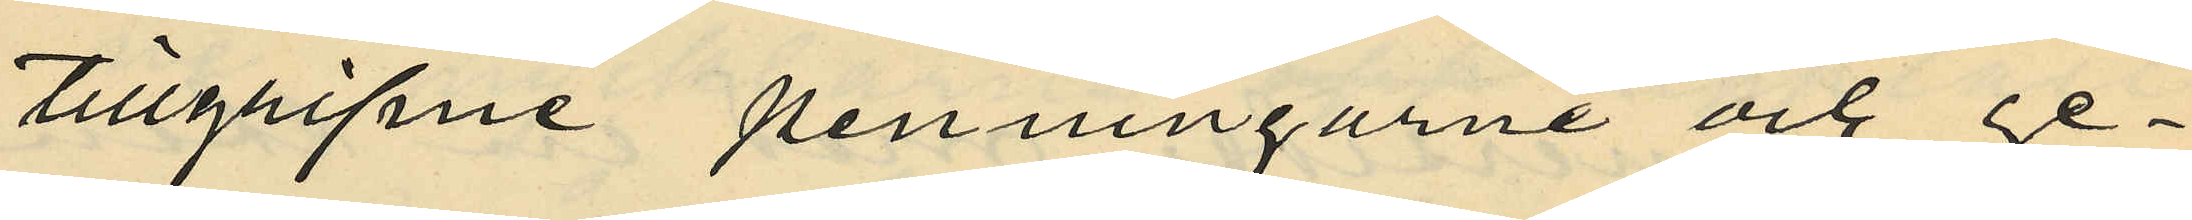tillgripne penningarne och ge¬
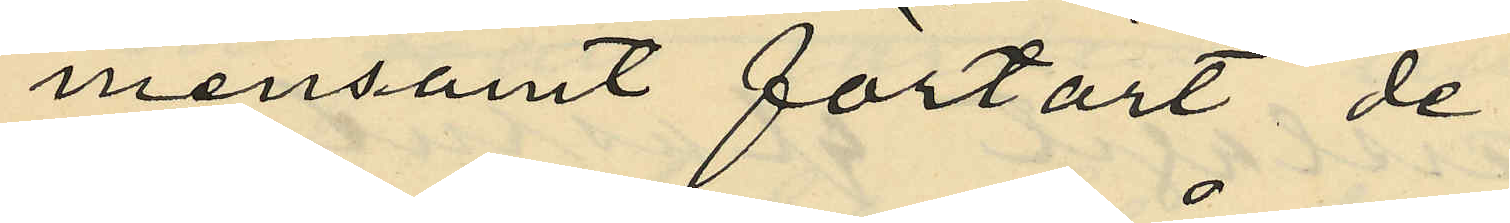mensamt förtärt de
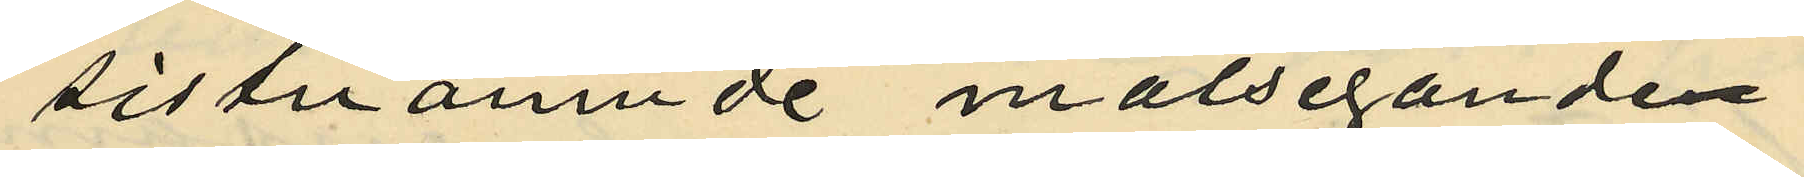sistnämnde målseganden
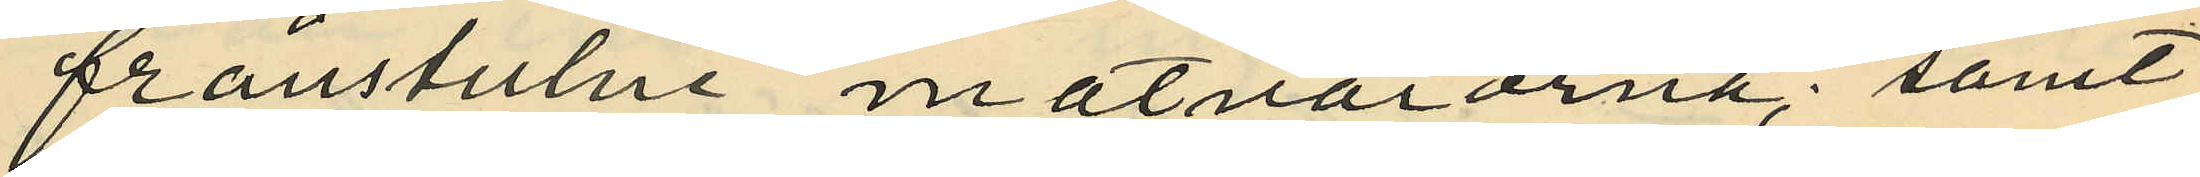frånstulne matvarorna; samt
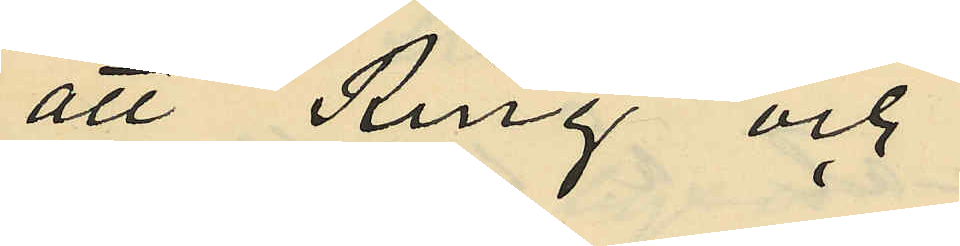att Ring och
